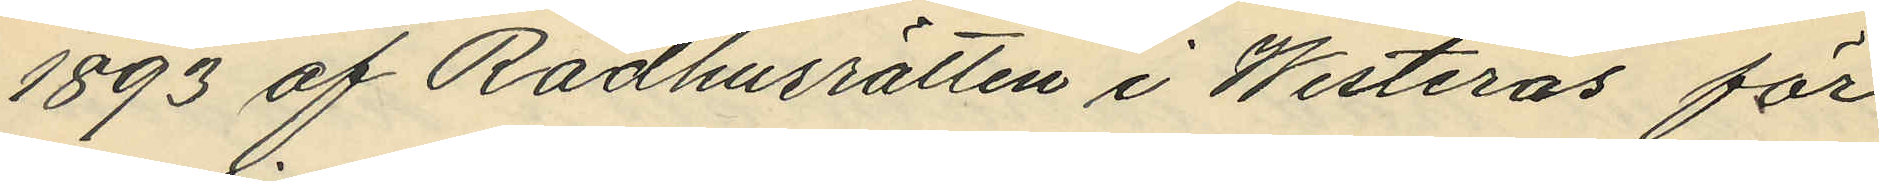1893 af Rådhusrätten i Westerås för
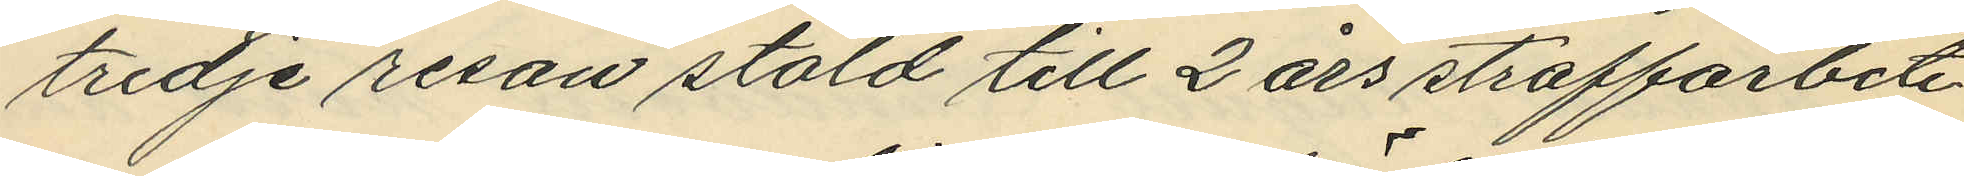tredje resan stöld till 2 års straffarbete
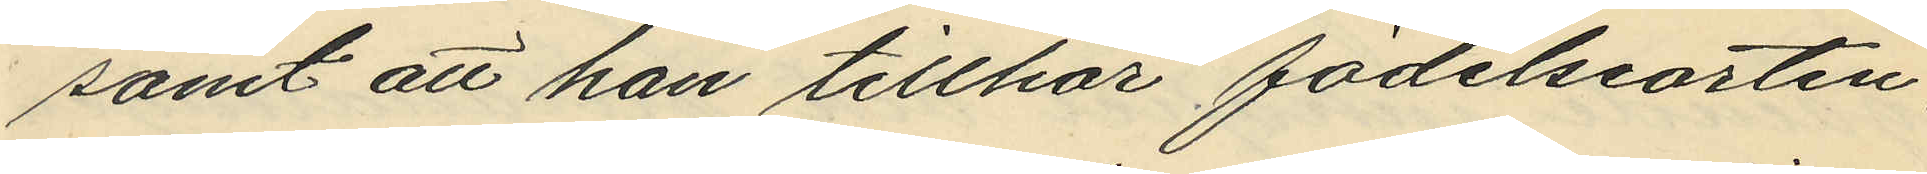samt att han tillhör födelseorten,
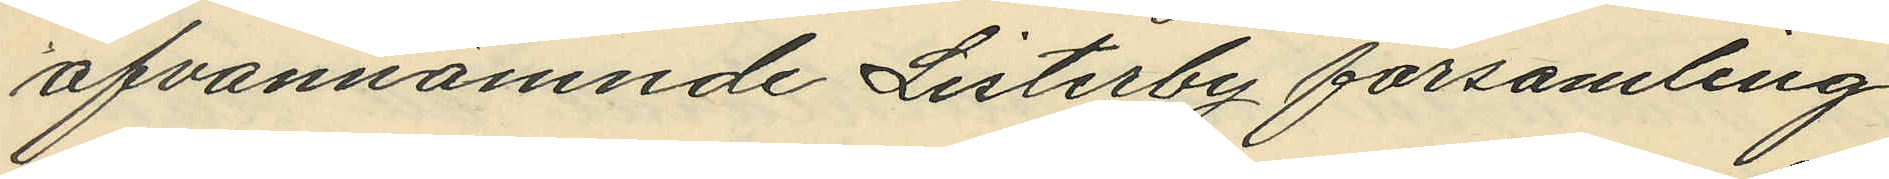ofvannämnde Listerby församling.
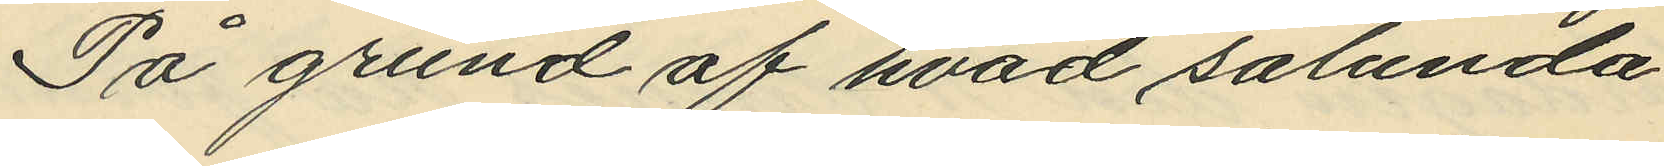På grund af hvad sålunda
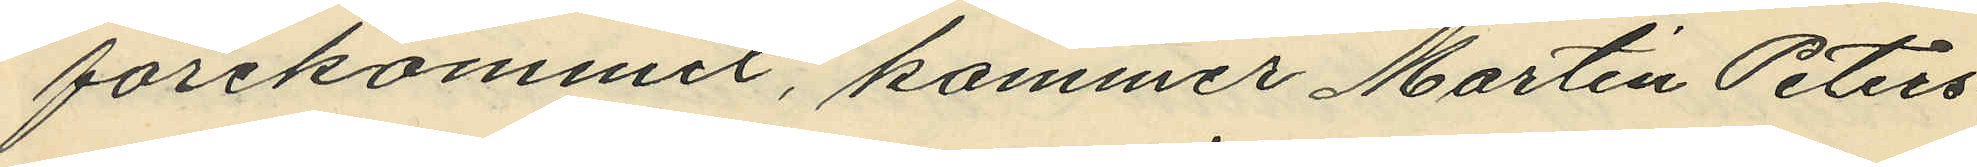förekommit, kommer Martin Peters¬
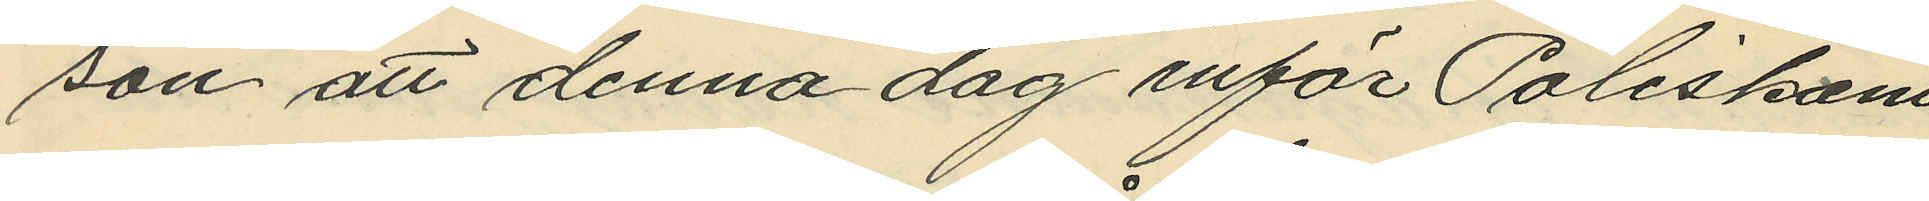son att denna dag inför Poliskam¬
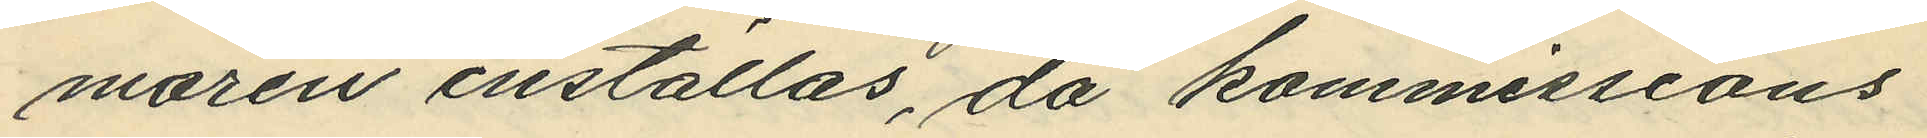maren inställas, då kommissions¬
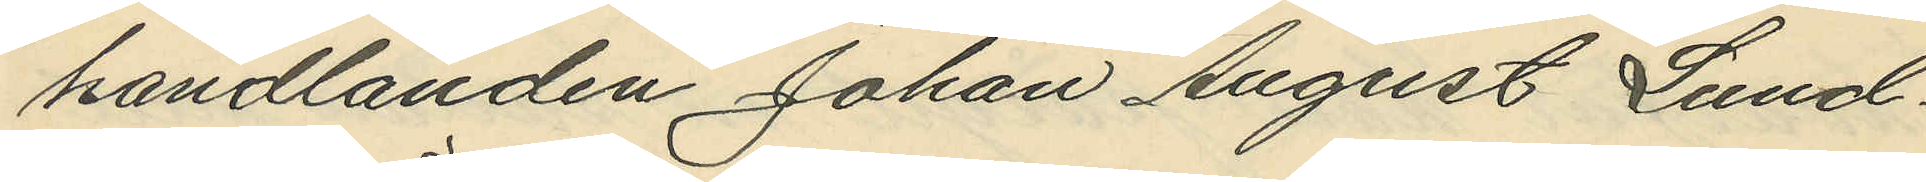handlanden Johan August Lund¬
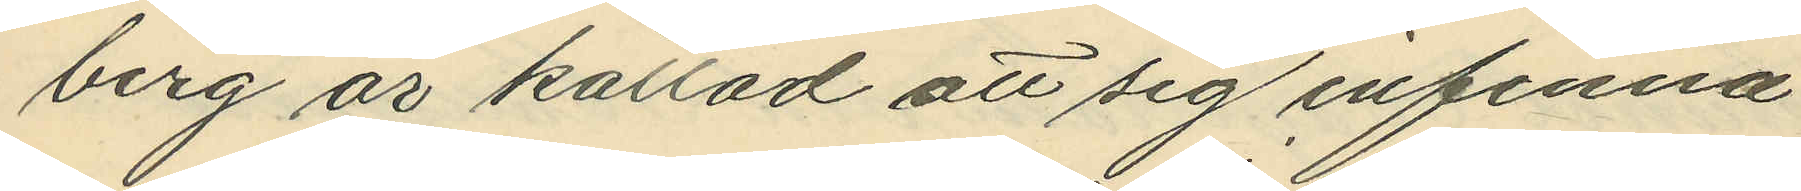berg är kallad att sig infinna.
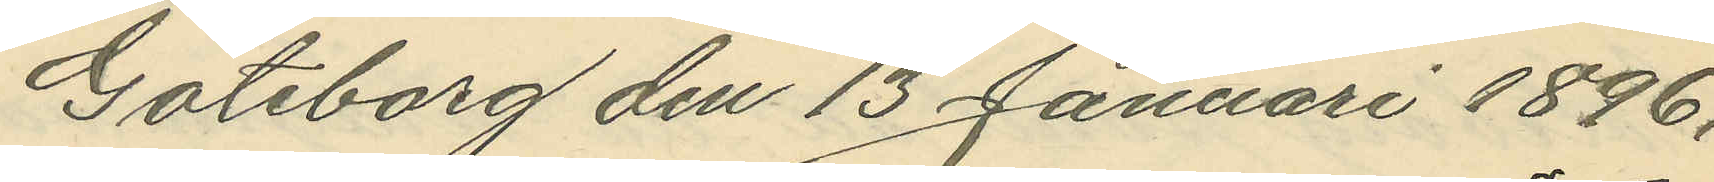Göteborg den 13 Januari 1896.
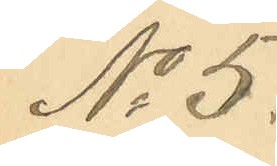No 5.
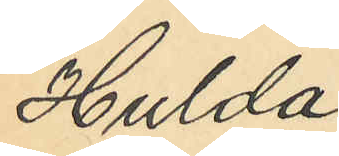Hulda
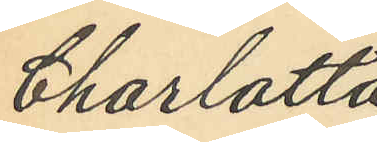Charlotta
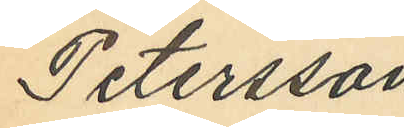Petersson
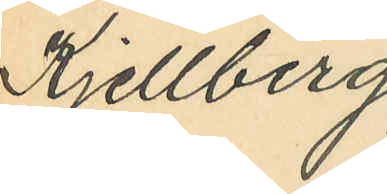Kjellberg
